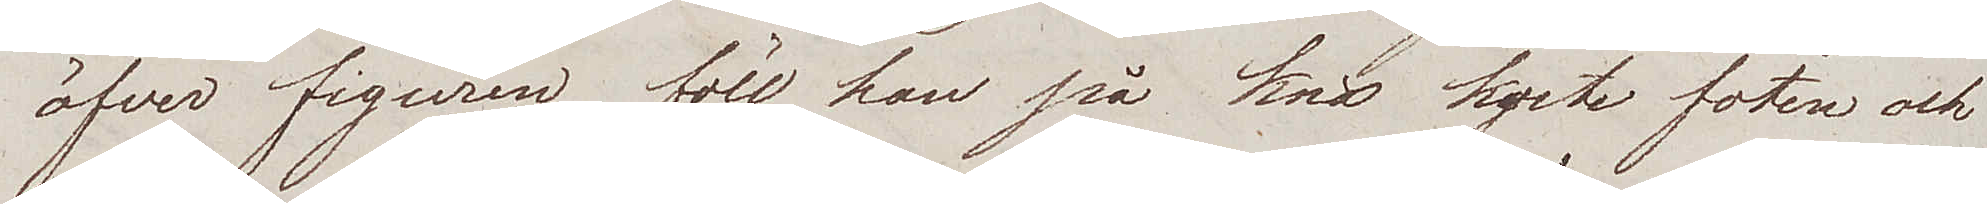öfver figuren, föll han på knä kyste foten och
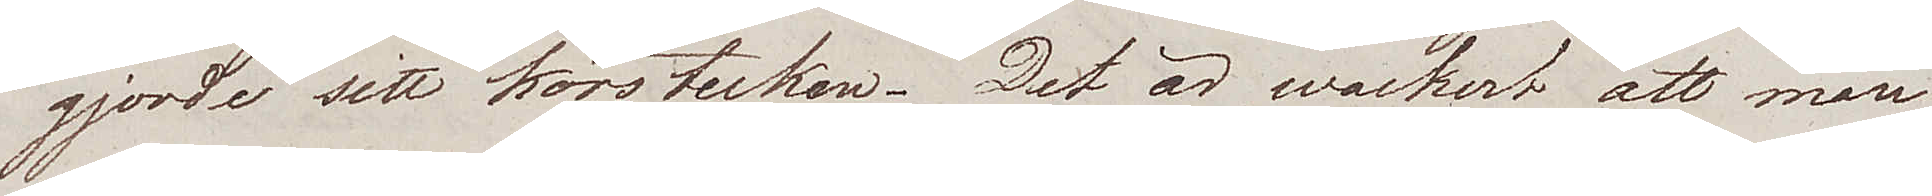gjorde sitt korstecken. Det är wackert att man
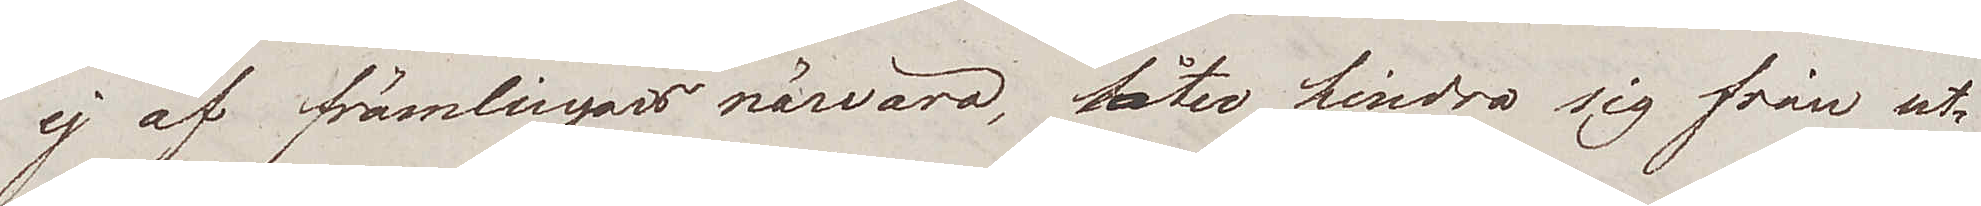ej af främlingars närvaro, låter hindra sig från ut¬
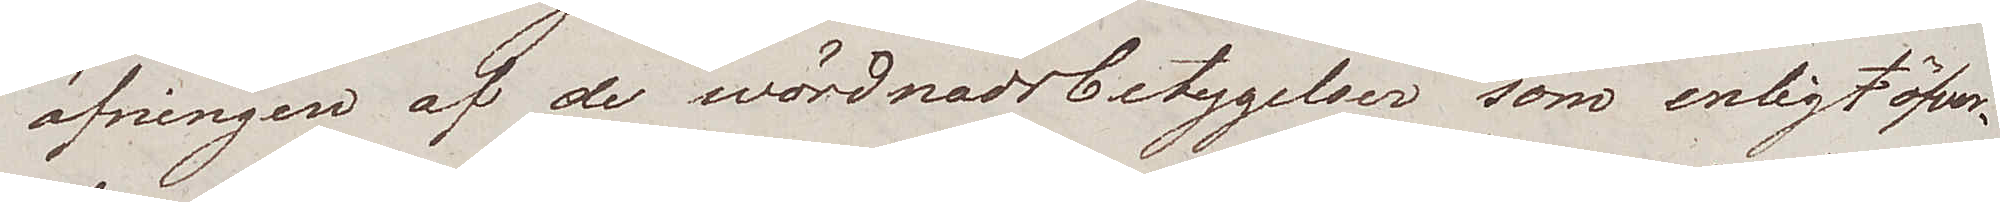öfningen af de wördnadsbetygelser som enligt öfver¬
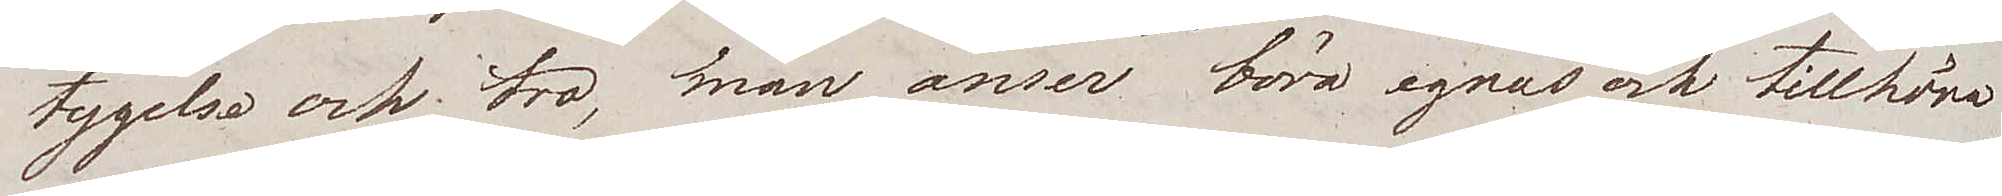tygelse och tro, man anser böra egnas och tillhöra
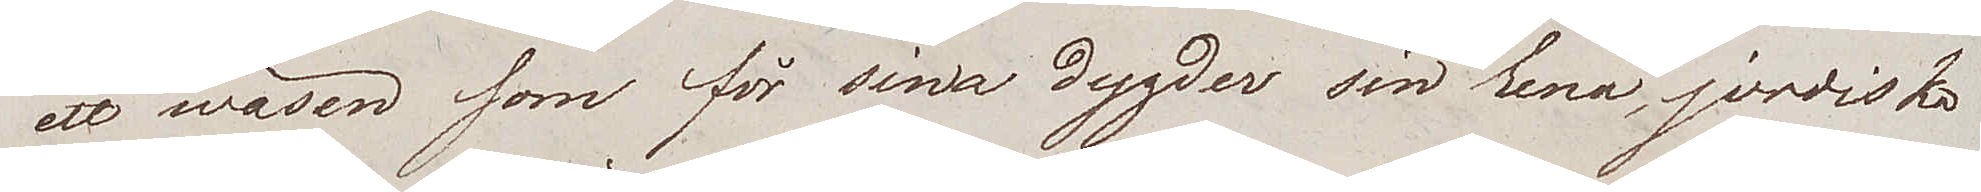ett wäsen som för sina dygder sin rena, jordiska
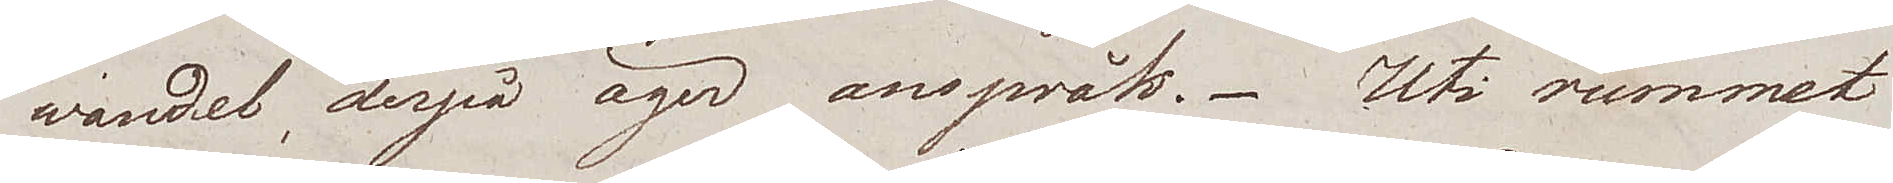wandel, derpå äger anspråk. Uti rummet
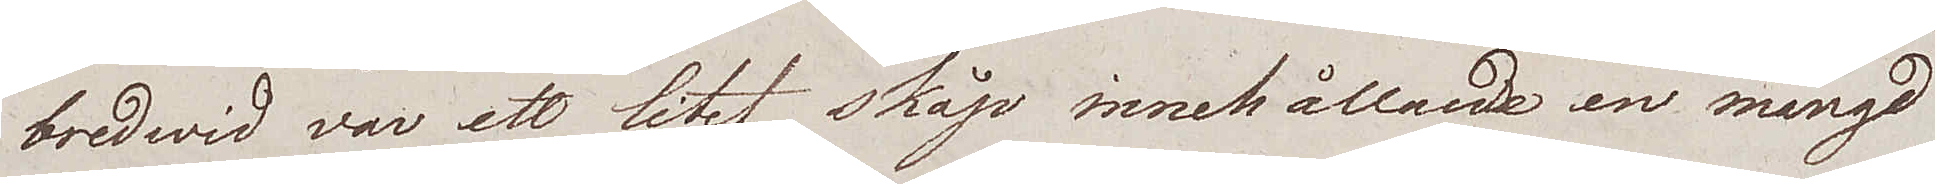bredwid var ett litet skåp innehållande en mängd
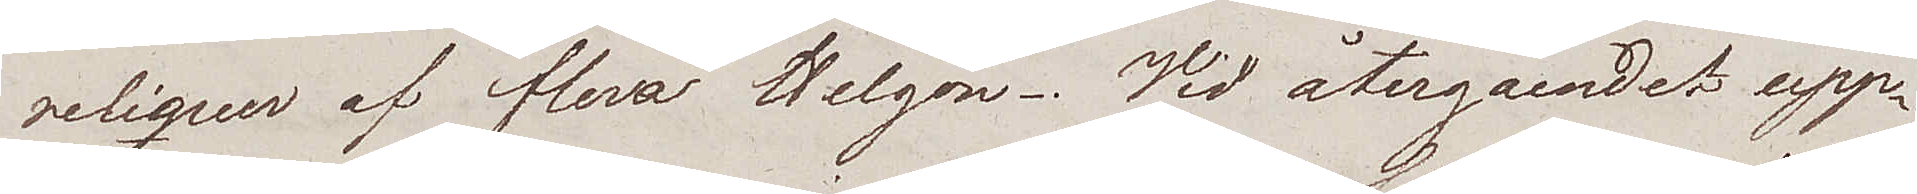reliquer af flera Helgon. Vid återgåendet upp¬
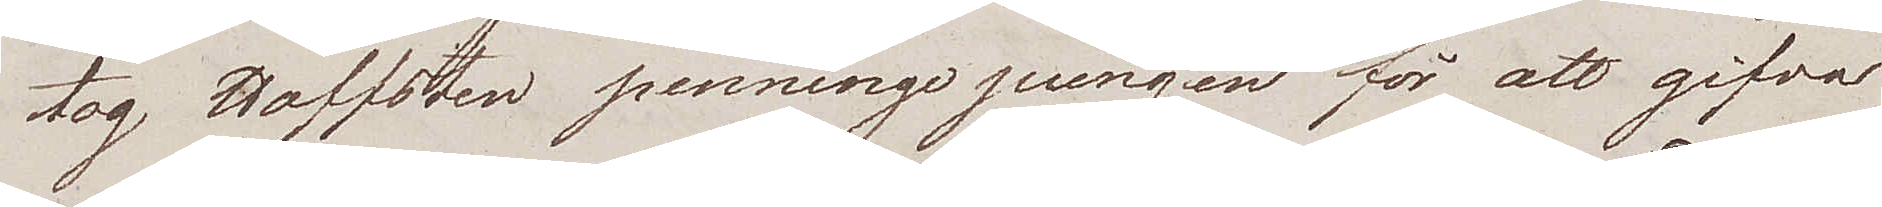tog Hoffsten penningepungen för att gifva
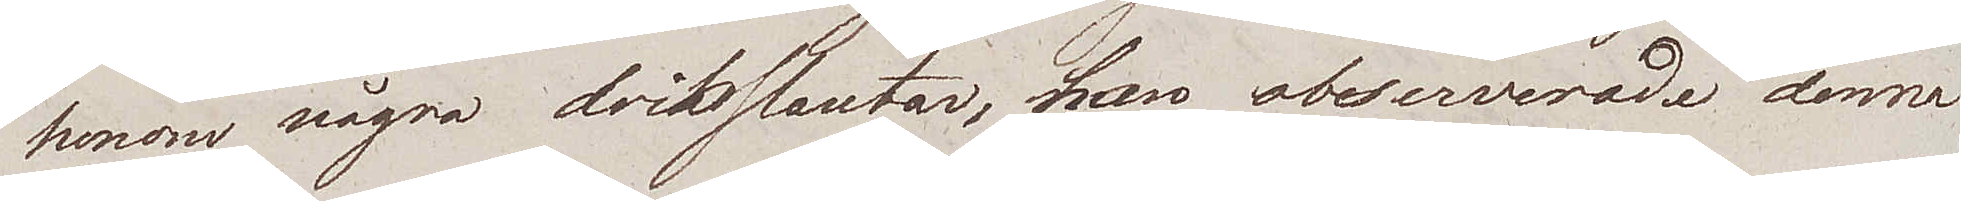honom några driksslantar, han observerade denna
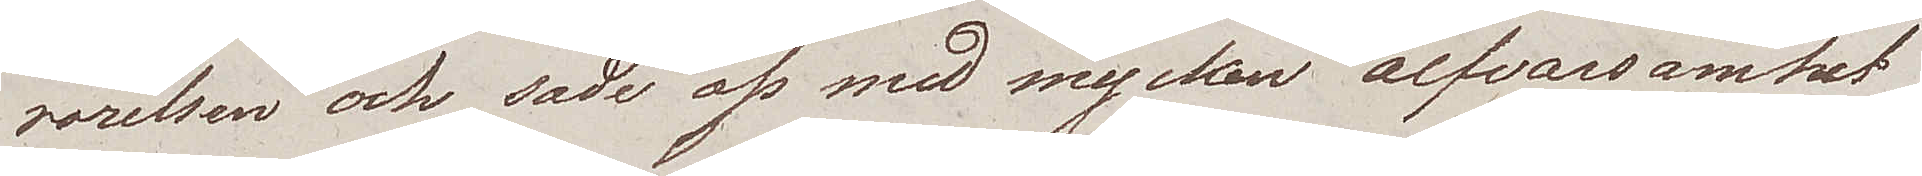rörelsen och sade oss med mycken alfvarsamhet
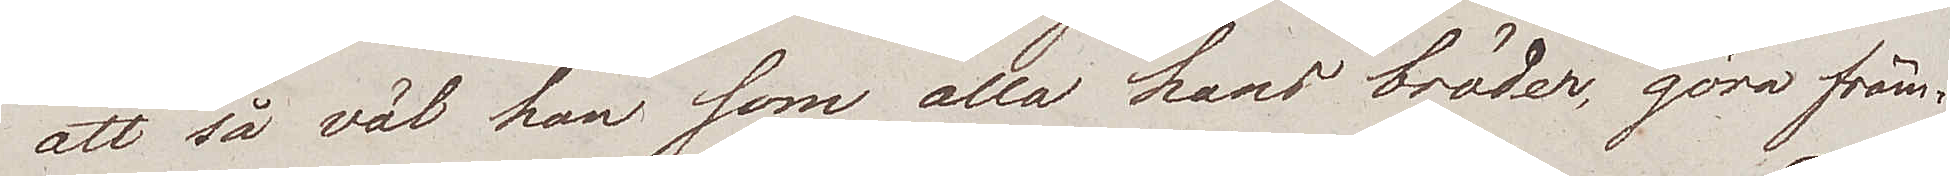att så väl han som alla hans bröder, göra främ¬
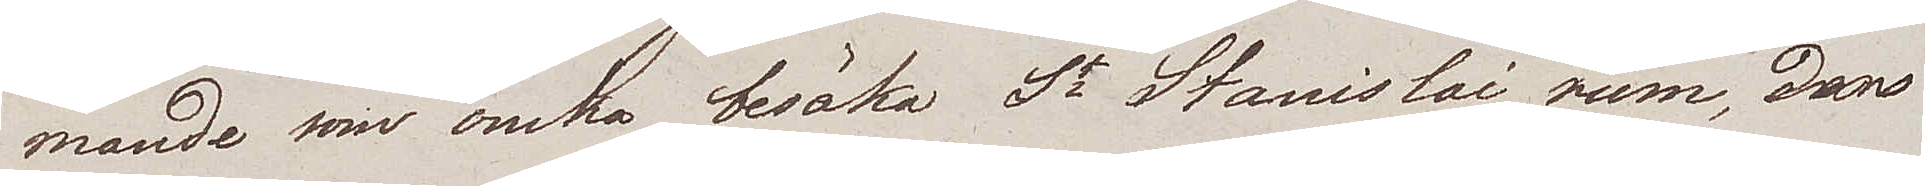mande som önska besöka St Stanislai rum, den
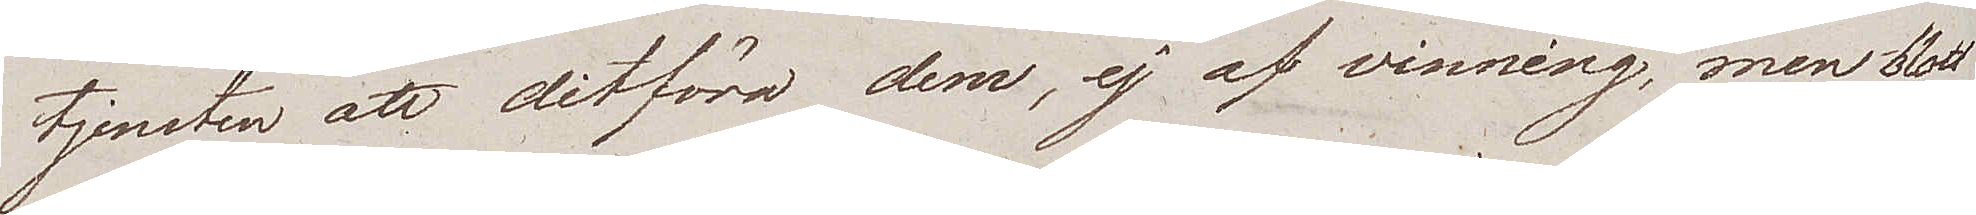tjensten att ditföra dem, ej af vinning, men blott
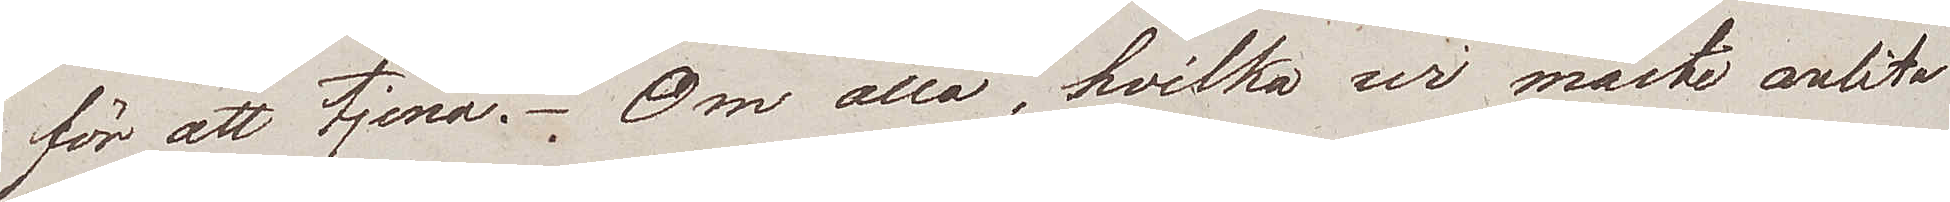för att tjena. Om alla, hvilka wi måste anlita
